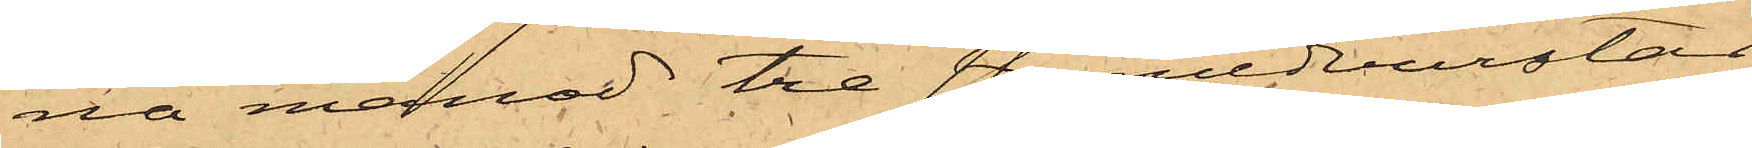na månad tre st. medvurstar,
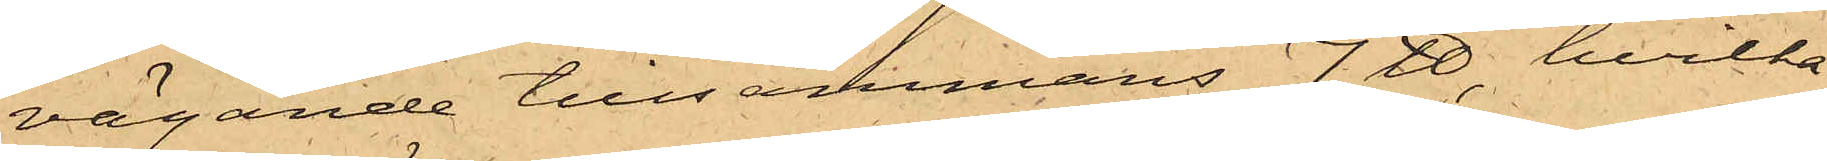vägande tillsammans 7 ℔, hvilka
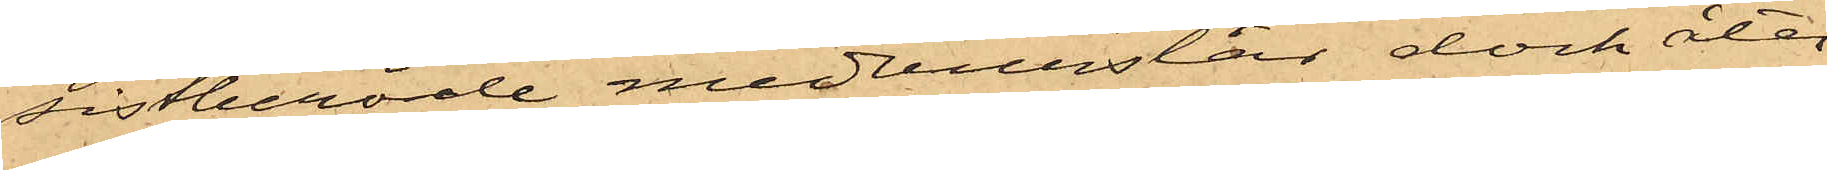sistberörde medvurstar dock åter¬
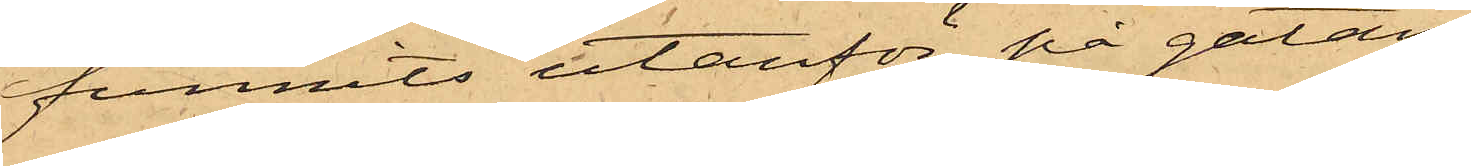funnits utanför på gatan;
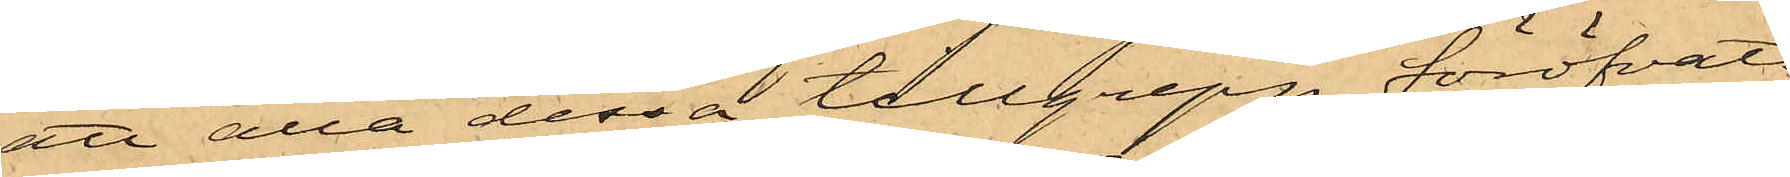att alla dessa tillgrepp föröfvats
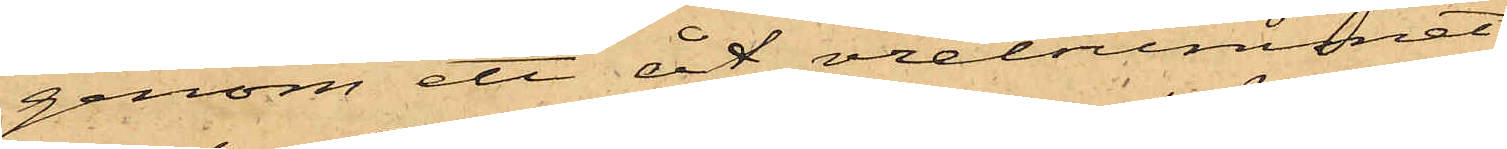genom ett åt vretummet
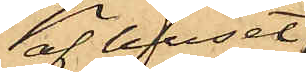af huset
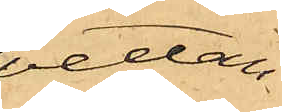vettan¬
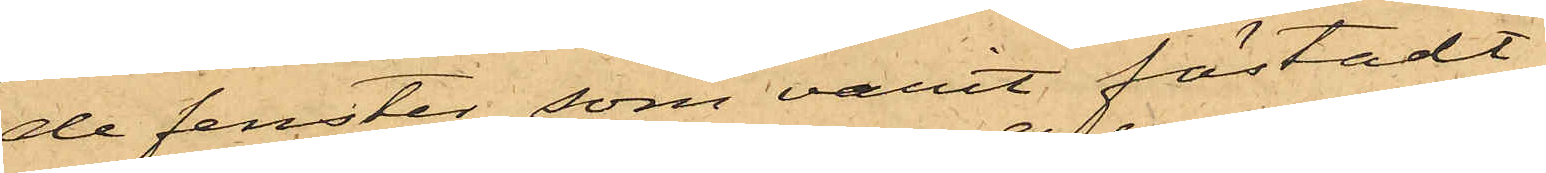de fenster, som varit fästadt
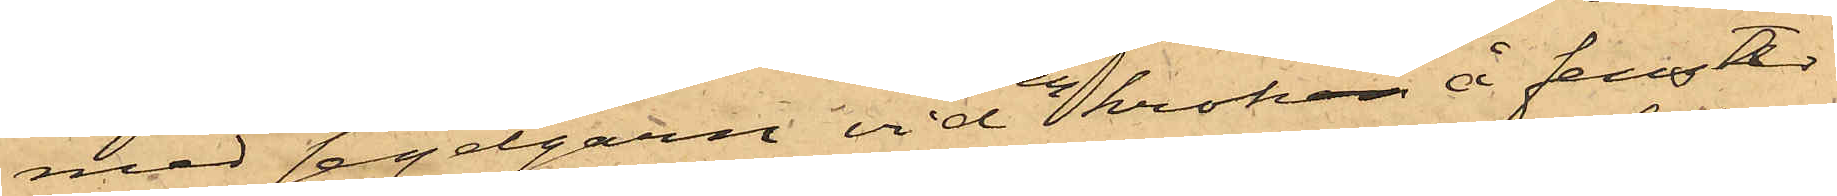med segelgarn vid en kroken å fenster¬
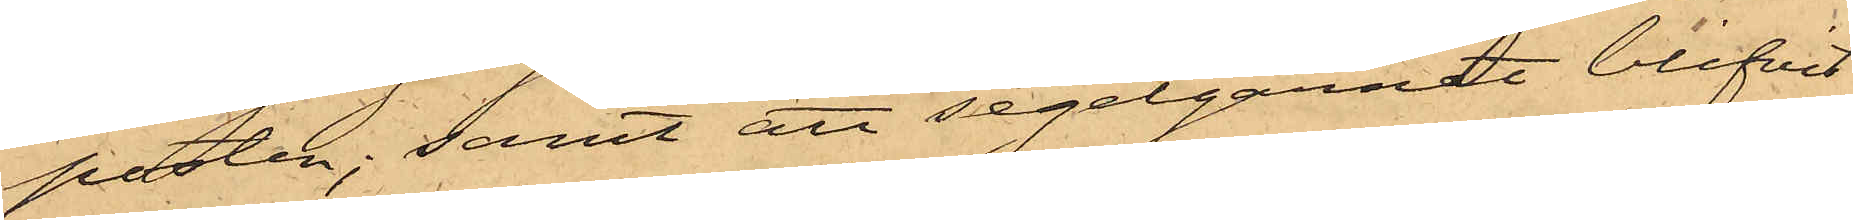posten; samt att segelgarnet blifvit
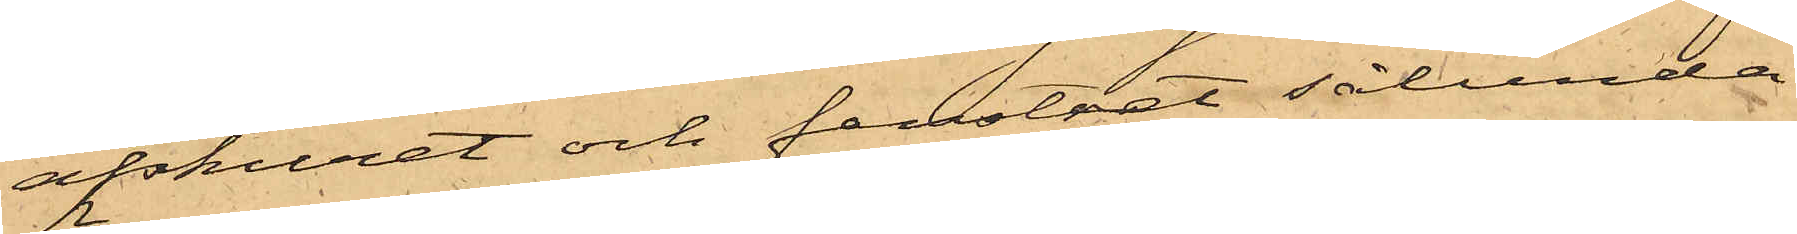afskuret och fenstret sålunda
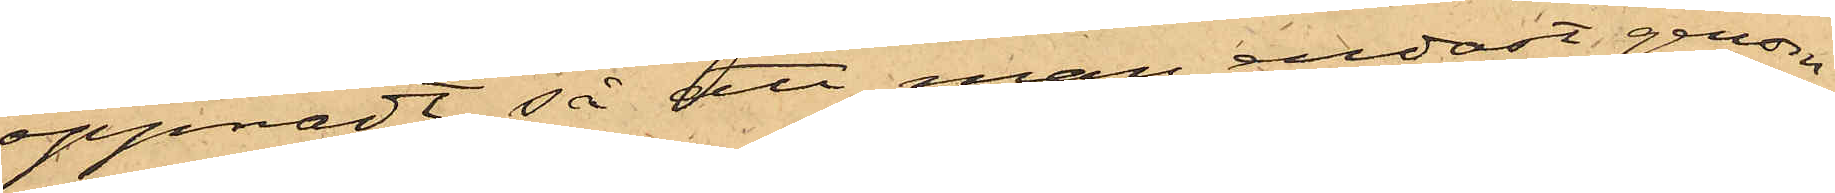öppnadt, så att man endast genom
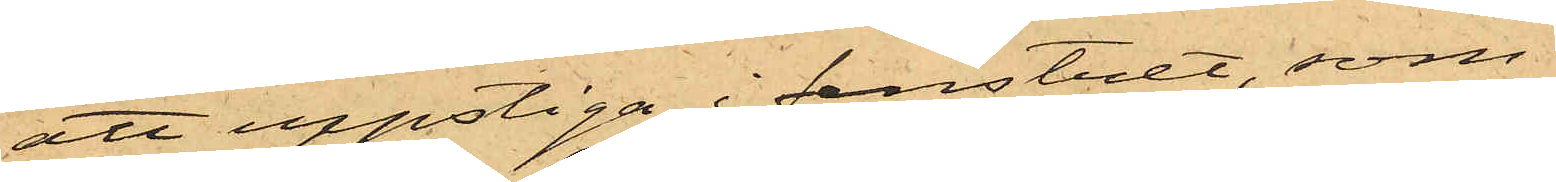att uppstiga i fenstret, som
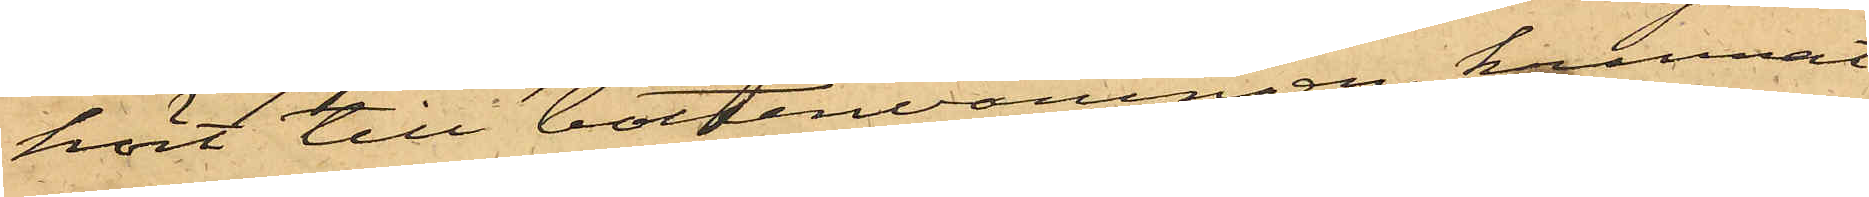hört till bottenvåningen, kunnat
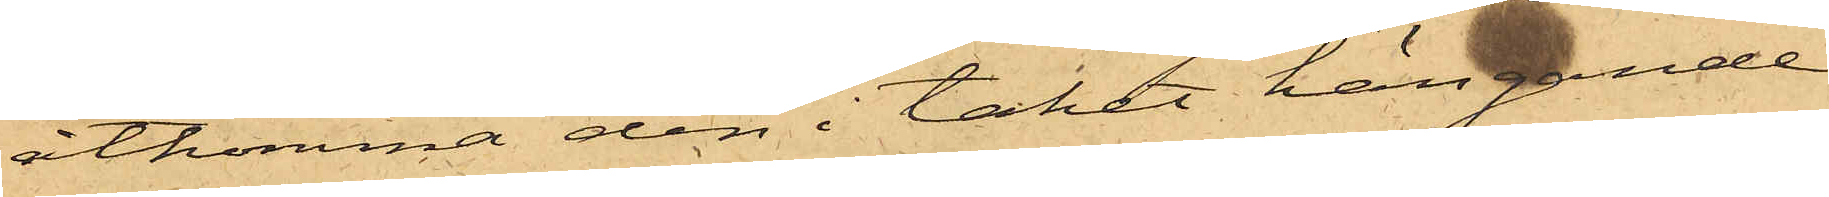åtkomma den i taket hängande
